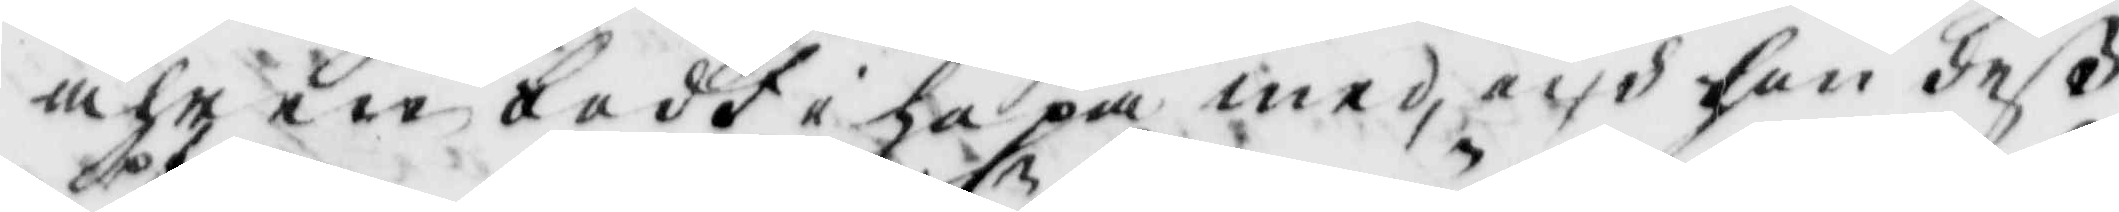åhr in bodt i hopa med, och hon deV
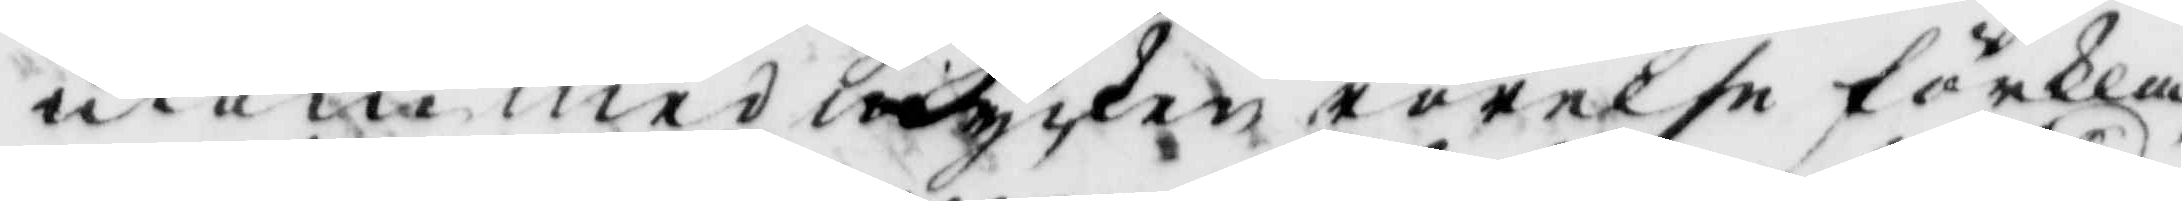utan med mycken rörelse förkla¬
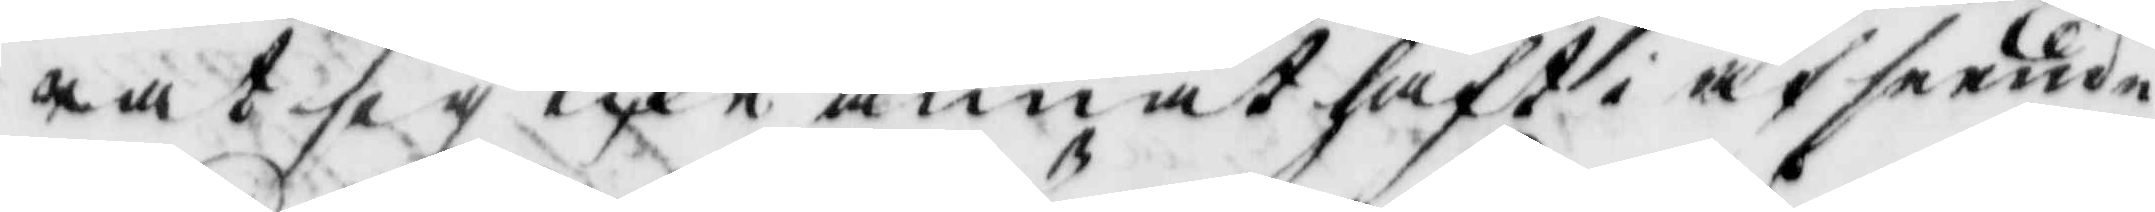rat sig icke annat haft i afseende
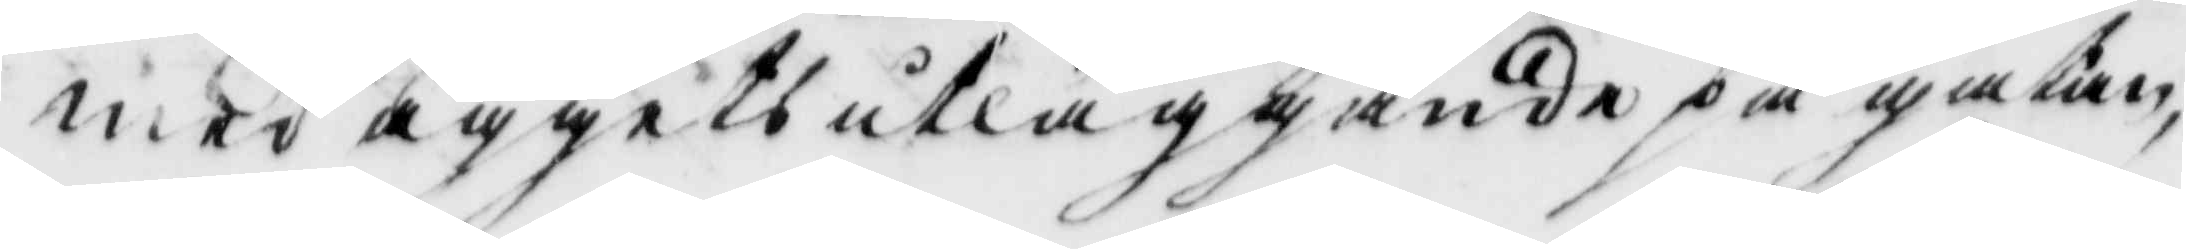med äggets utläggande på gatan
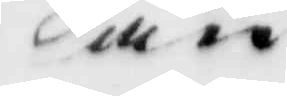än
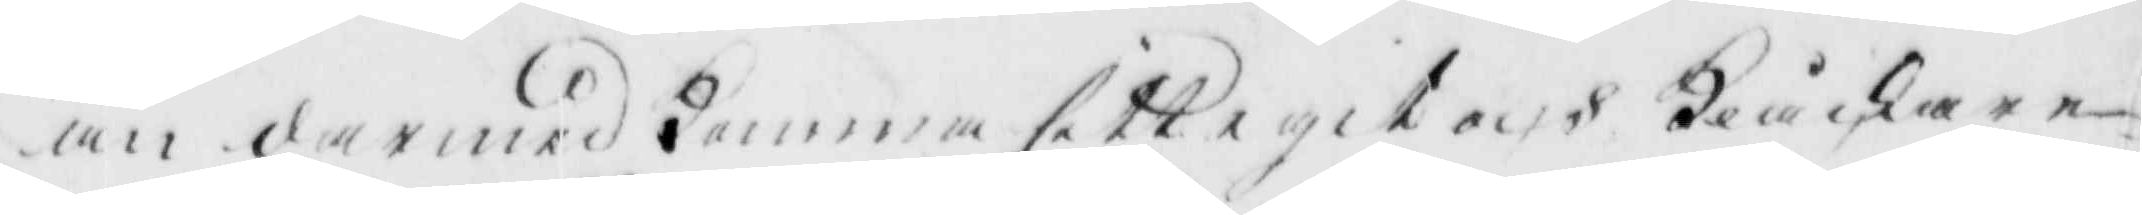än dermed komma sitt eget och Klåckare¬
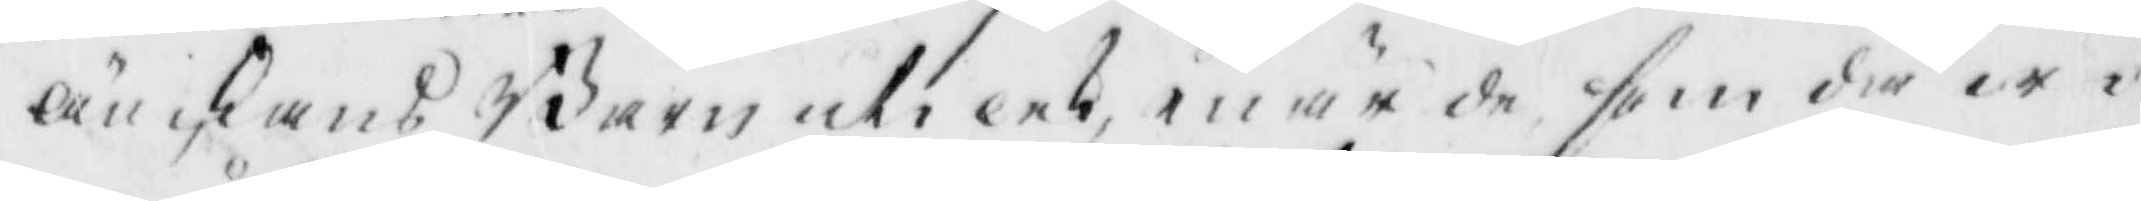änckans Barn uti lek, enär de som då wo¬
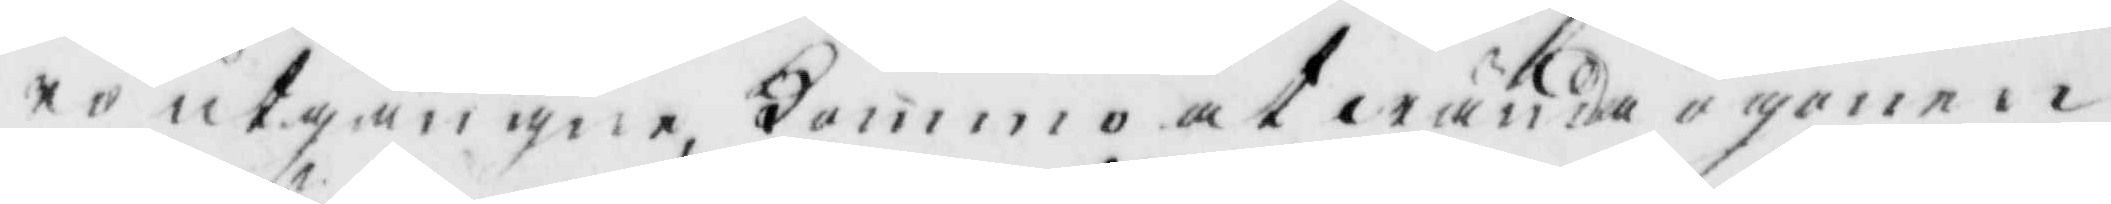ro utgångne, kommo at wända ögonen
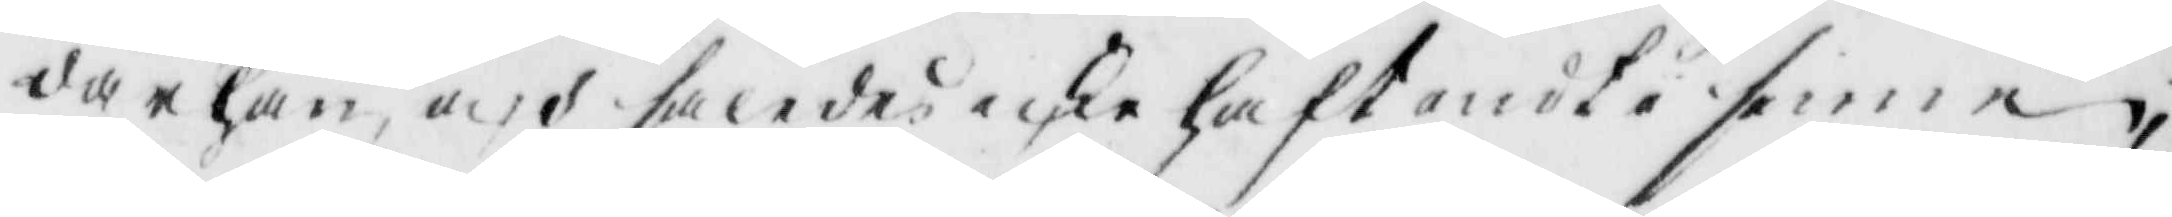därhän, och således icke haft ondt i sinne,
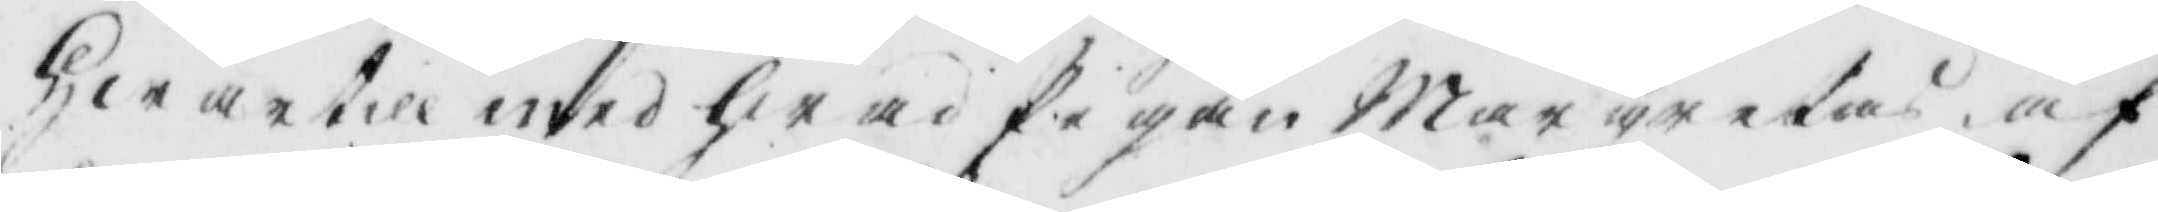hwartill med hwad Pigan margreta, af
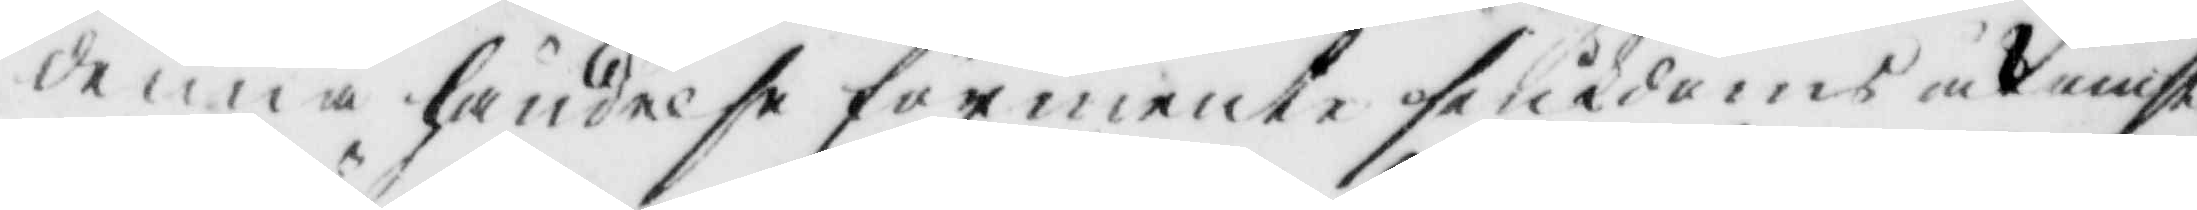denna händelse förmente siukdoms åknist
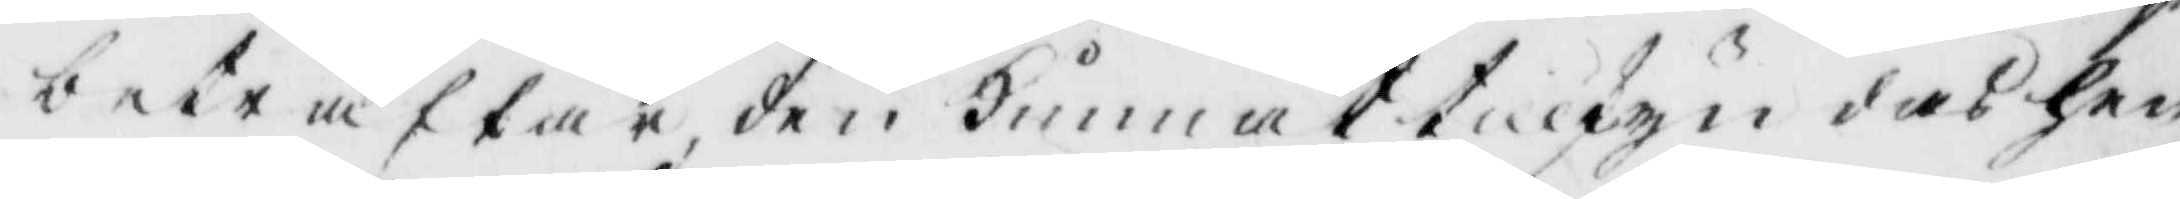beträffar den kunnat tillskyndas hen¬
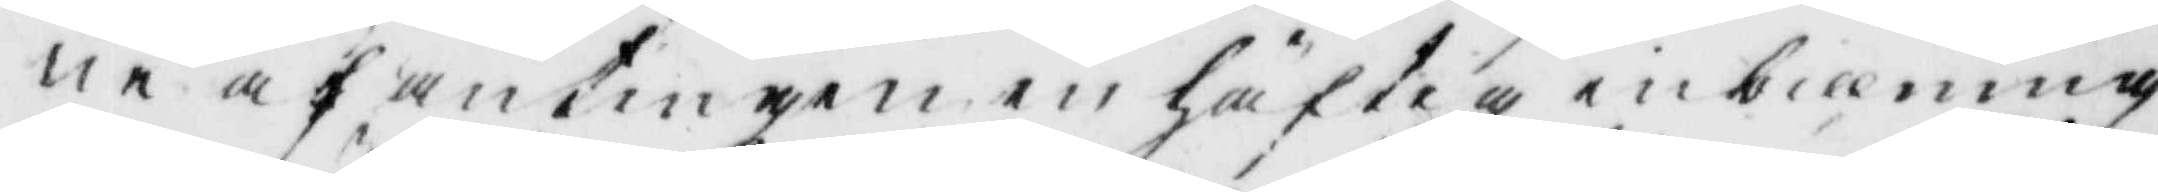ne af antingen en häftig inbillning
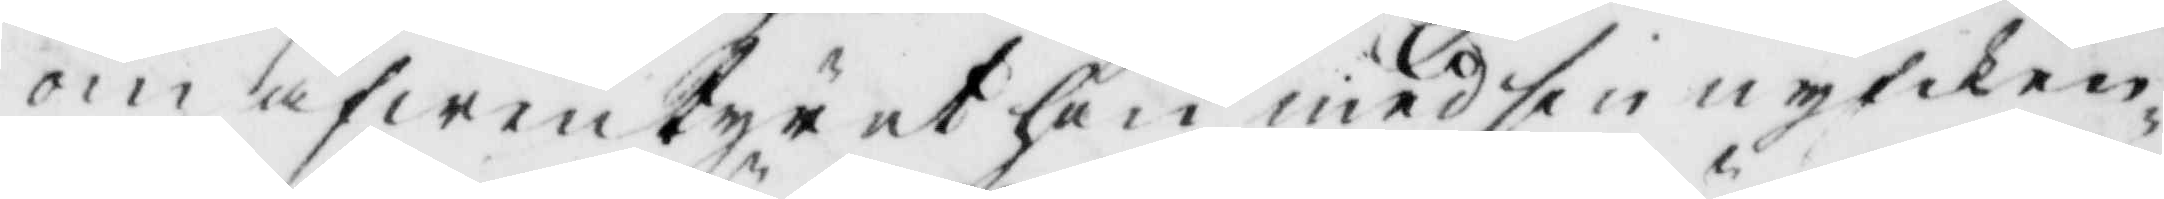om äfwentyret hon med sin nyfiken¬
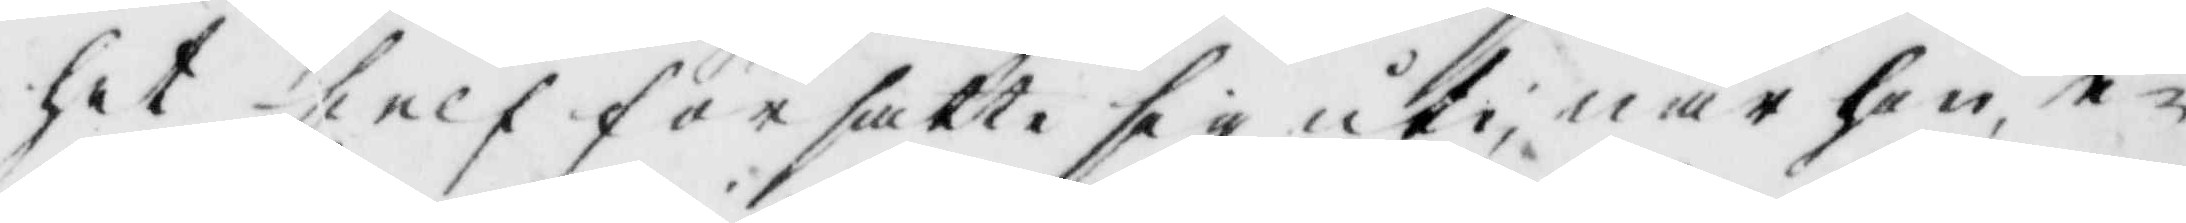het sielf för satte sig uti, när hon e¬
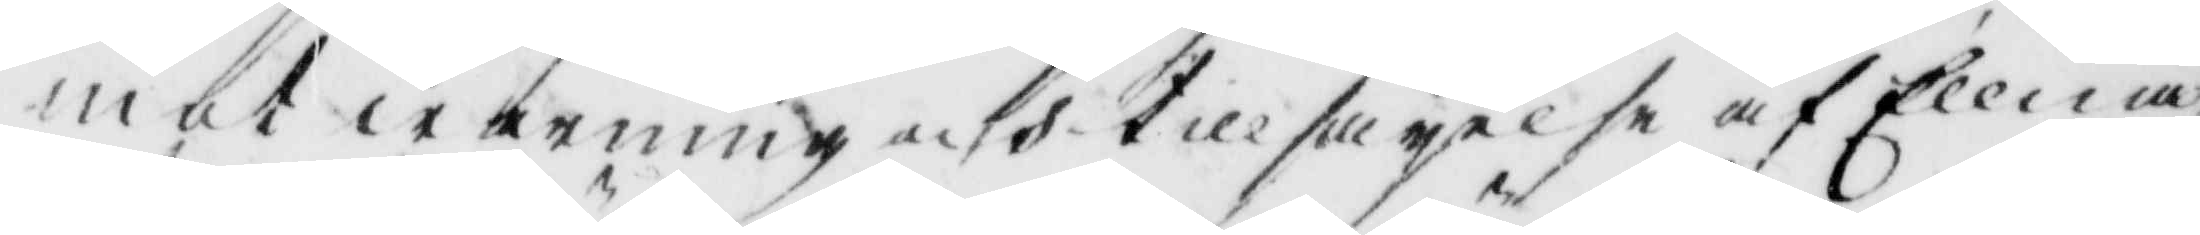mot warning och tillsägelse af Ellna
